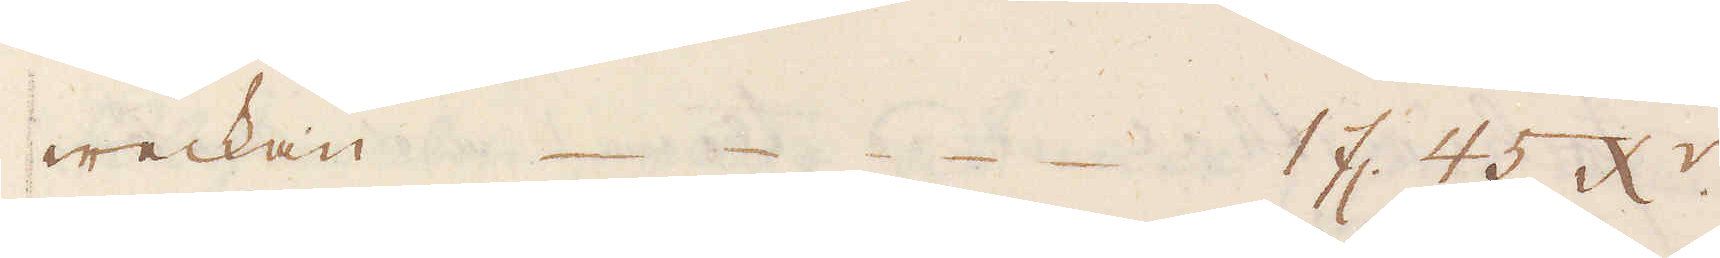weckan 1 fl. 45 x:r.
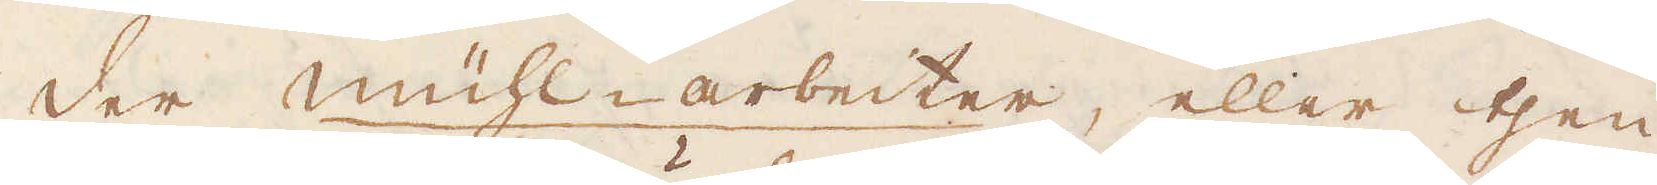Der mühl-arbeiter, eller then
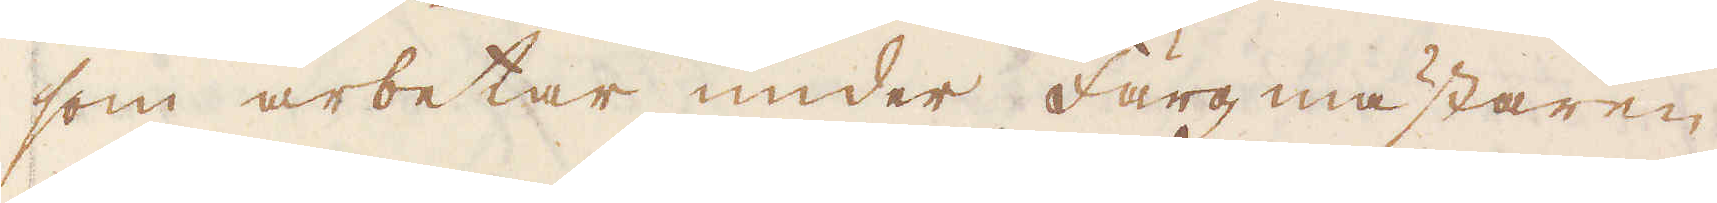som arbetar under Färg mästaren
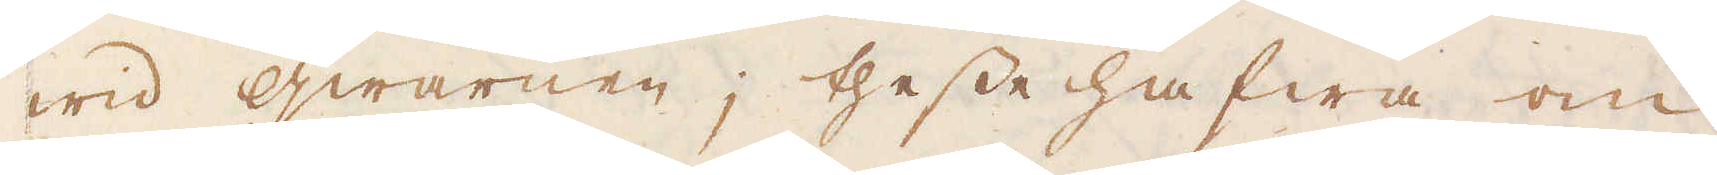wid qwarnen; thesse hafwa om
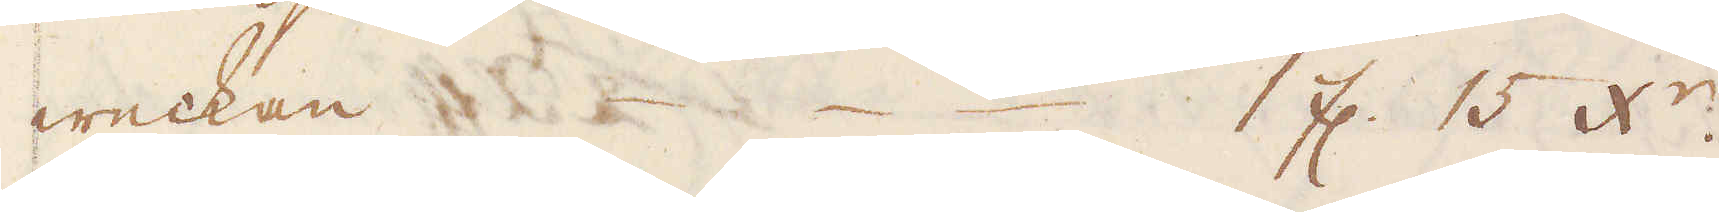weckan 1 fl. 15 x:r.
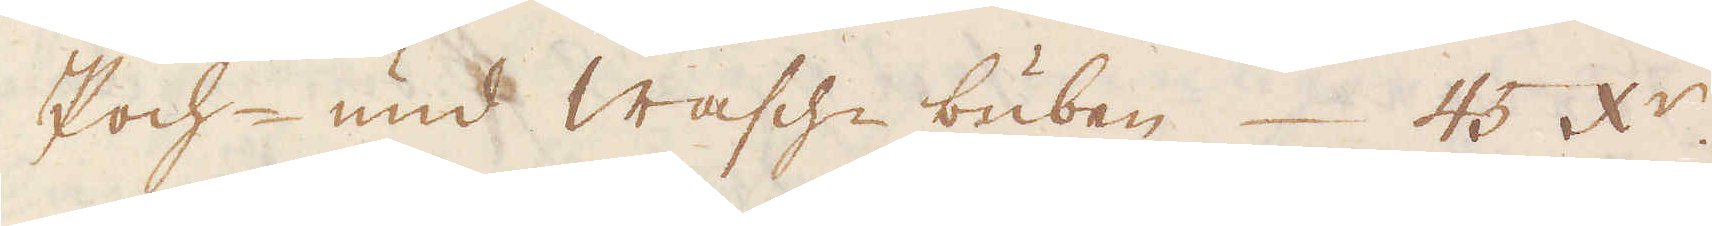Poch- und Wasche-buben 45 x:r.
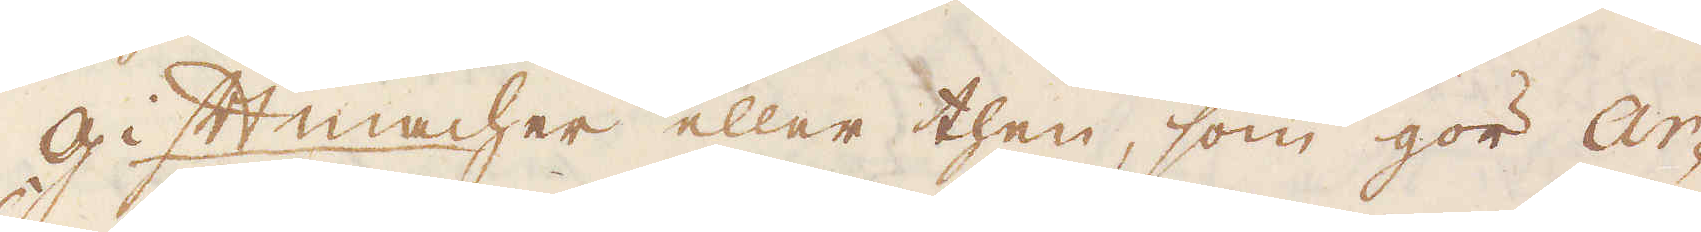Gifft macher eller then, som gör Ar-
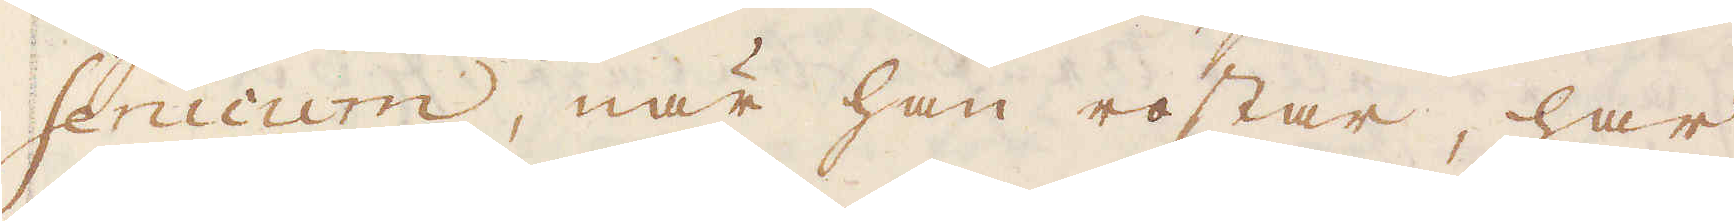senicum, när han rostar, har
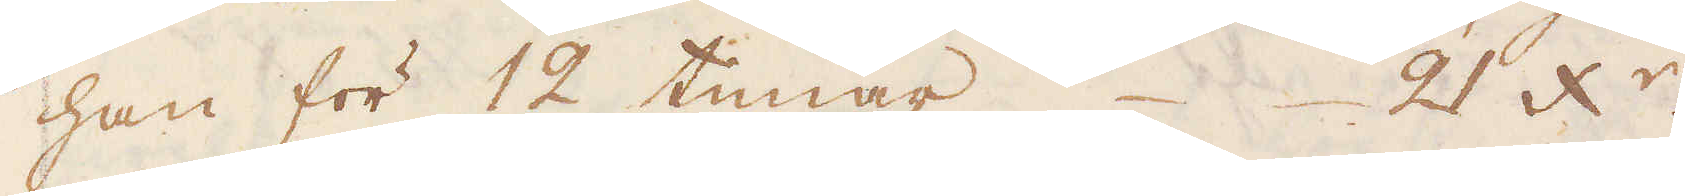han för 12 timar 21 x:r.
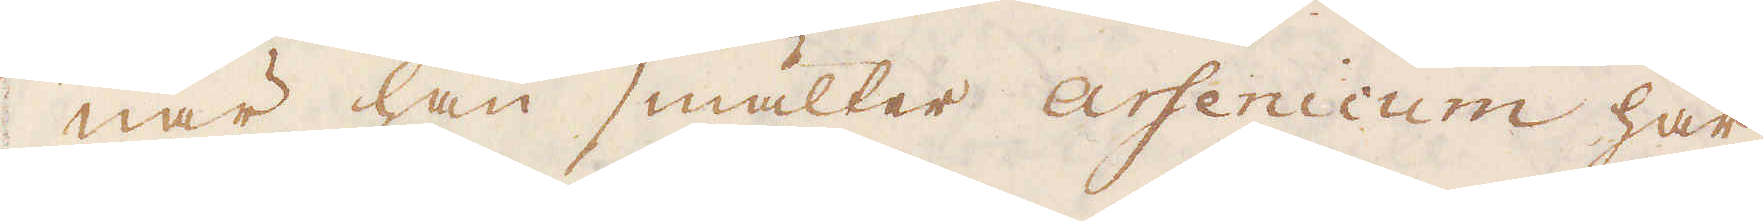När han smälter Arsenicum har
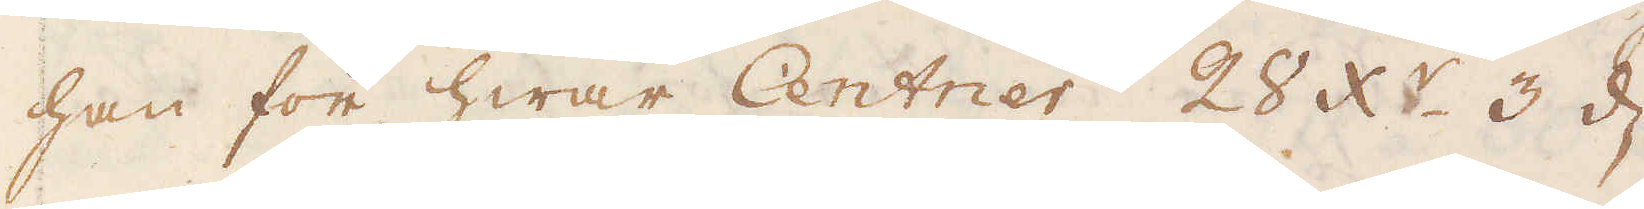han för hwar Centner 28 x:r. 3 d.
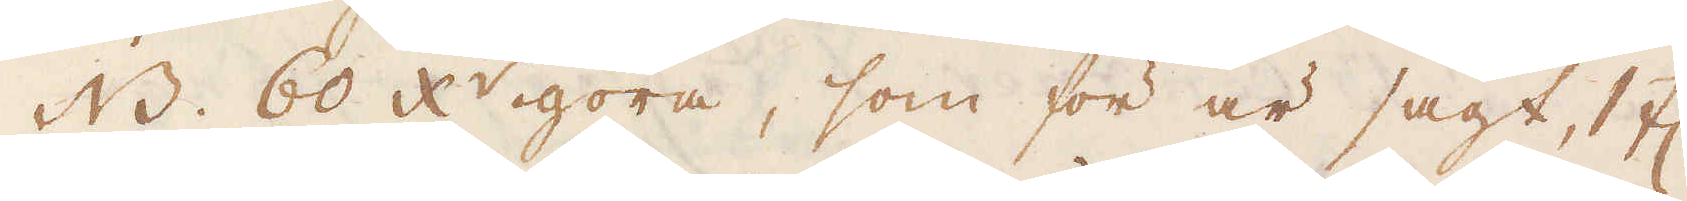NB. 60 x:r göra, som för är sagt, 1 fl.
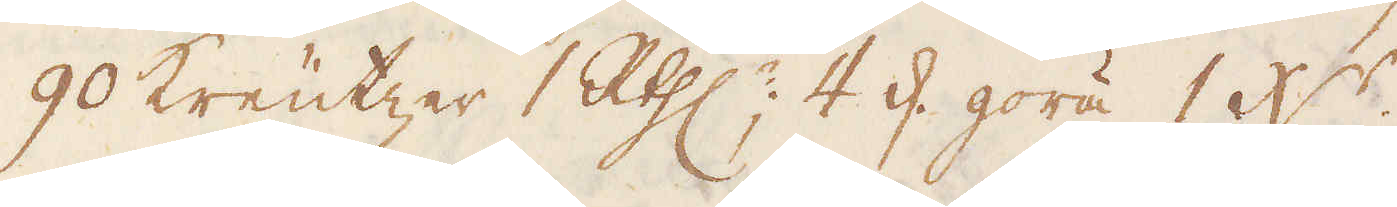90 Kreutzer 1 R:thlr; 4 d. göra 1 x:r.
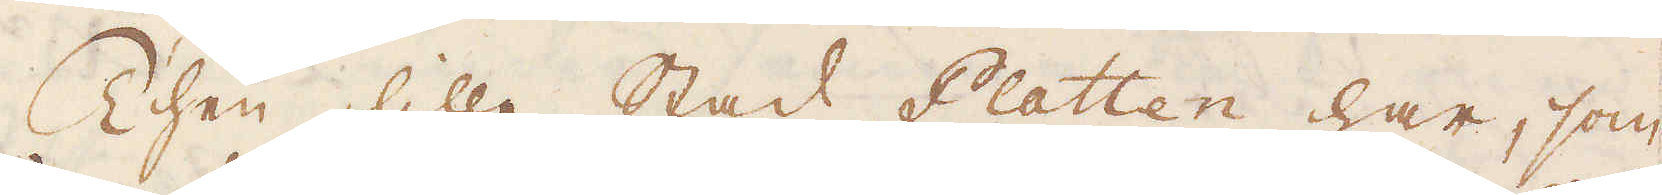Then lille Stad Platten har, som
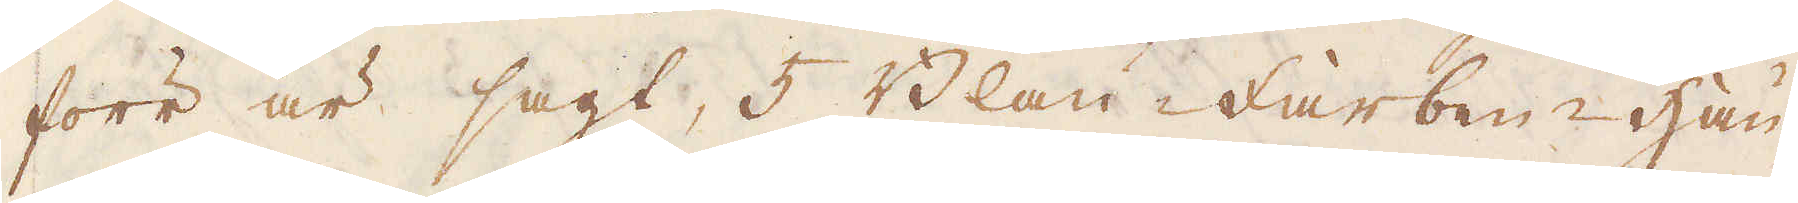förr är sagt, 5 Blau-Farben-hau-
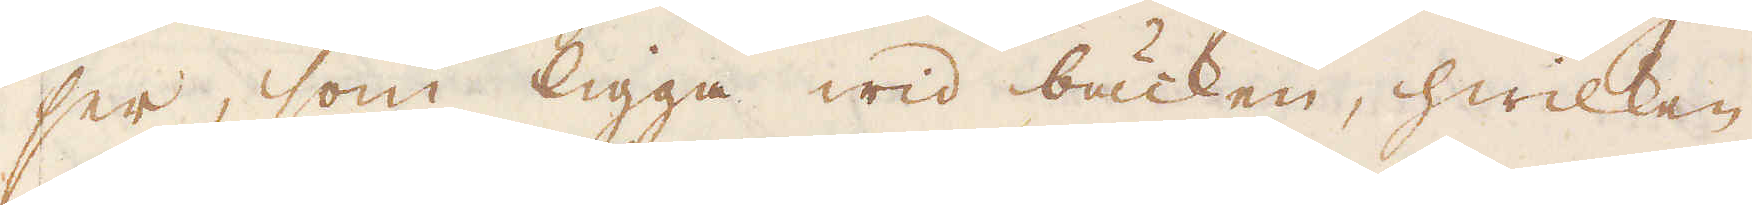ser, som ligga wid bäcken, hwilken
